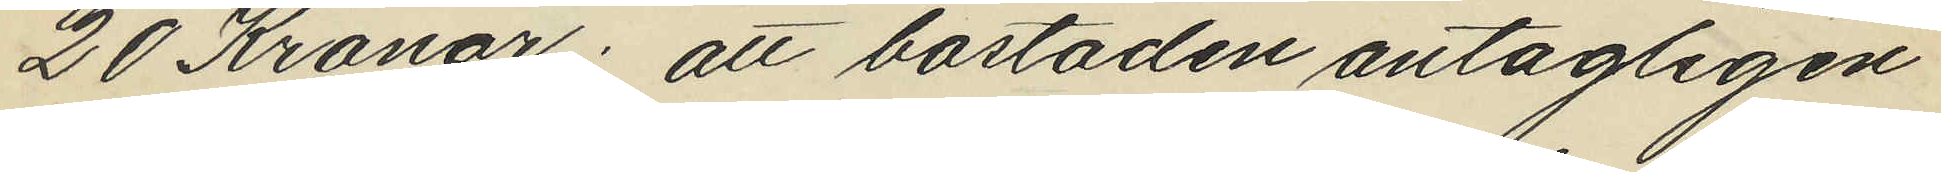20 Kronor: att bostaden antagligen
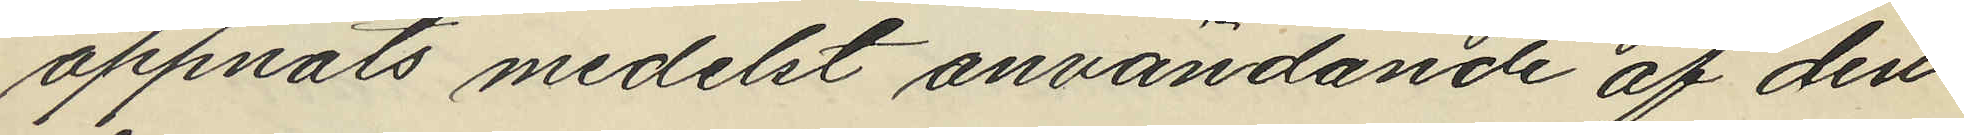öppnats medelst användande af den
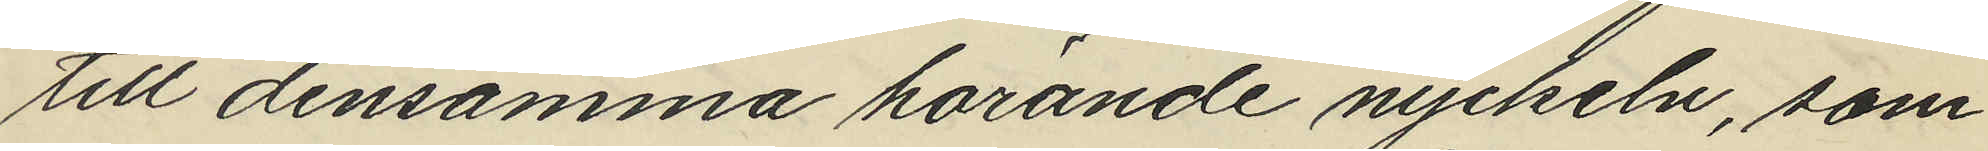till densamma hörande nyckeln, som
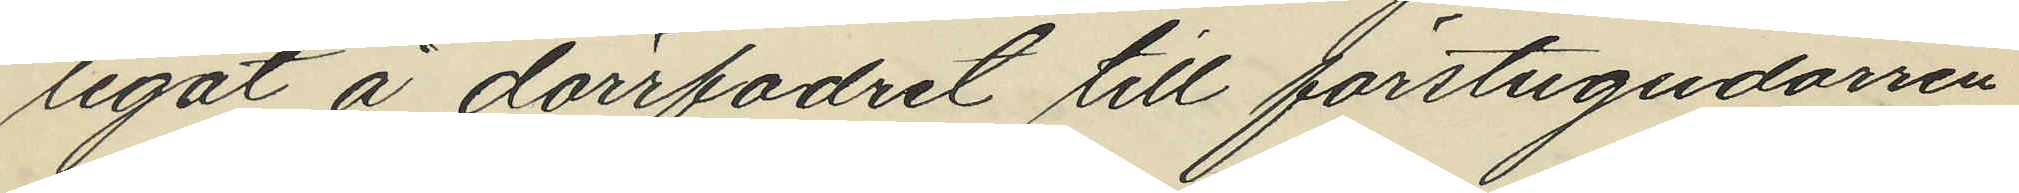legat å dörrfodret till förstugudörren
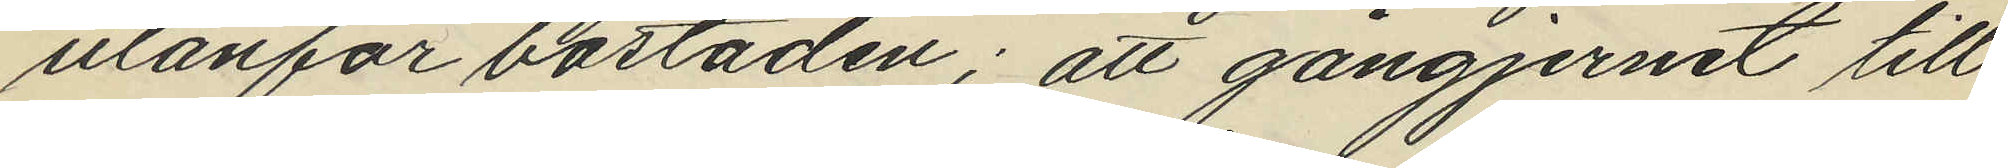utanför bostaden; att gångjernet till
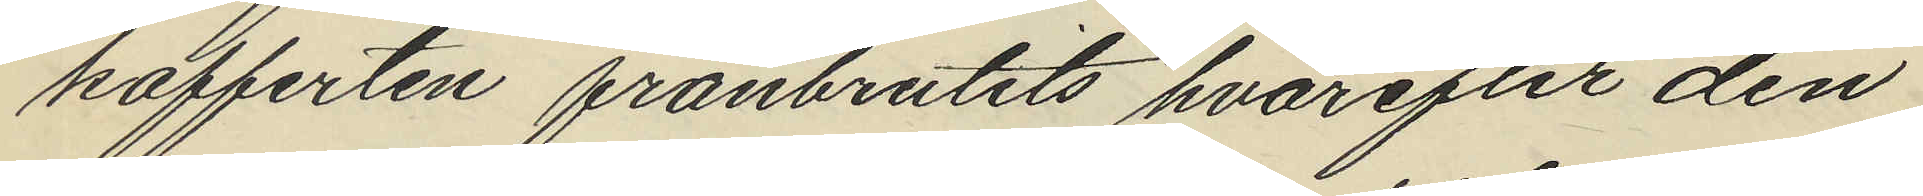kofferten frånbrutits hvarefter den
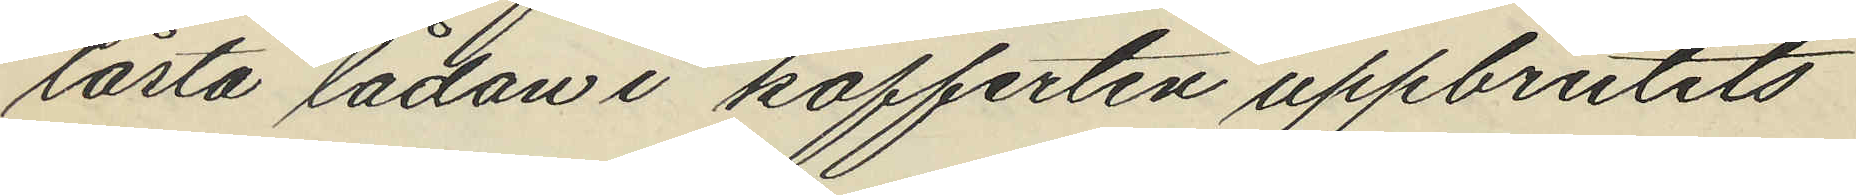låsta lådan i kofferten uppbrutits
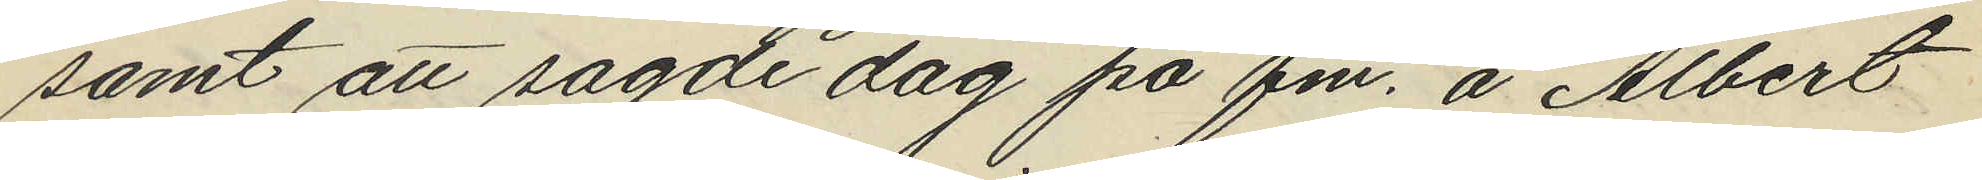samt att sagde dag på fm. å Albert
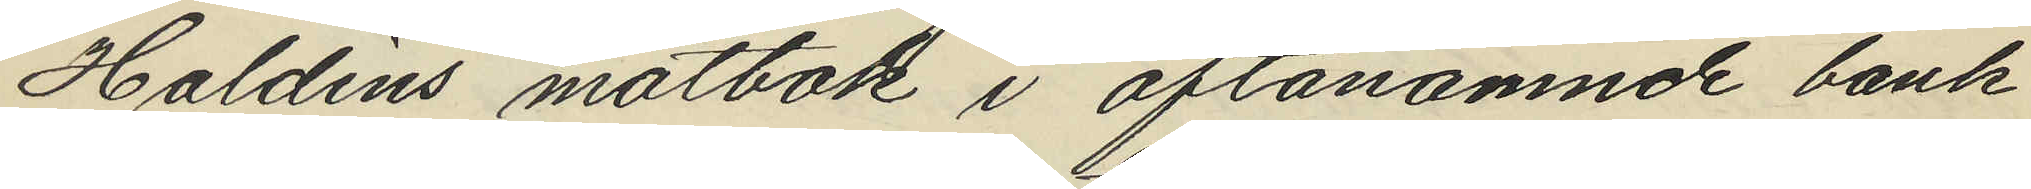Haldins motbok i oftanämnde bank
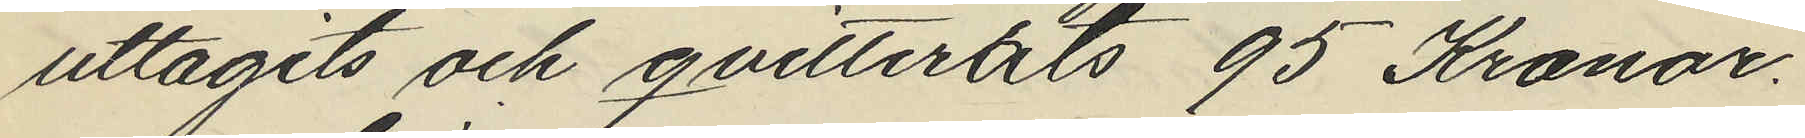uttagits och qvitterats 95 Kronor.
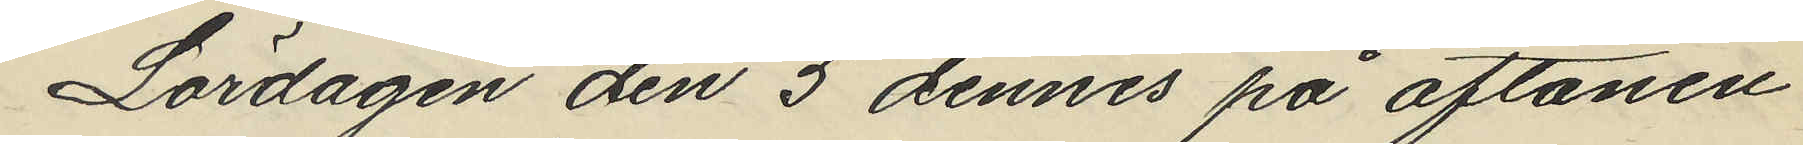Lördagen den 5 dennes på aftonen
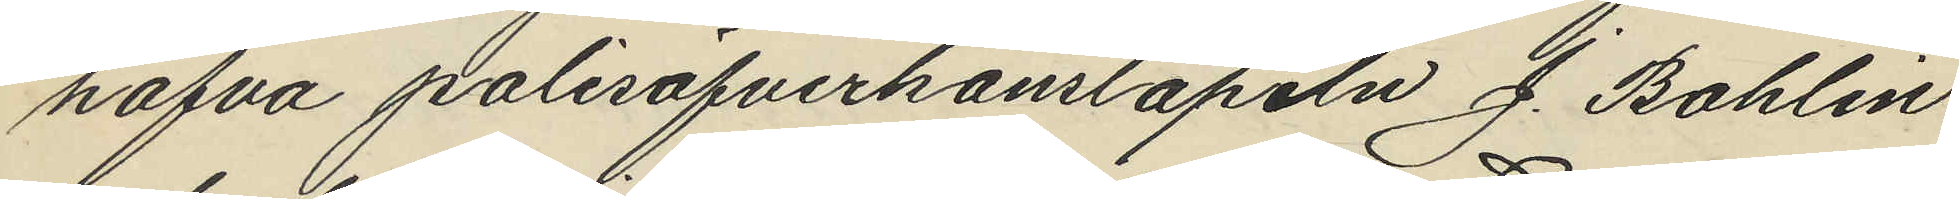hafva polisöfverkonstapeln J. Bohlin
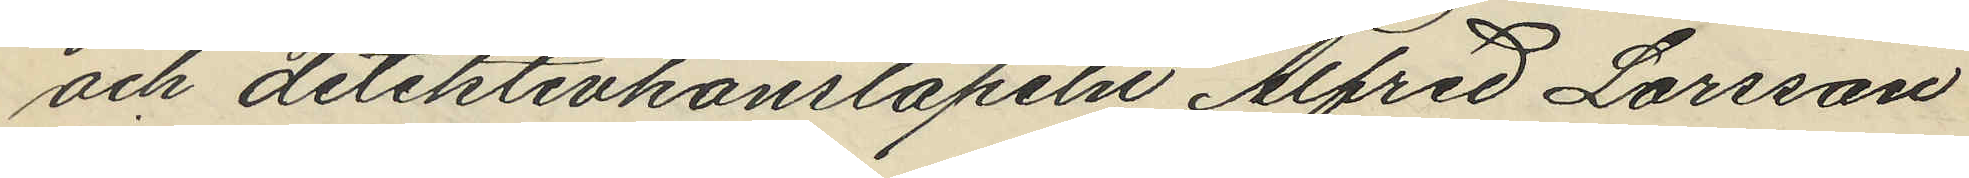och detektivkonstapeln Alfred Larsson
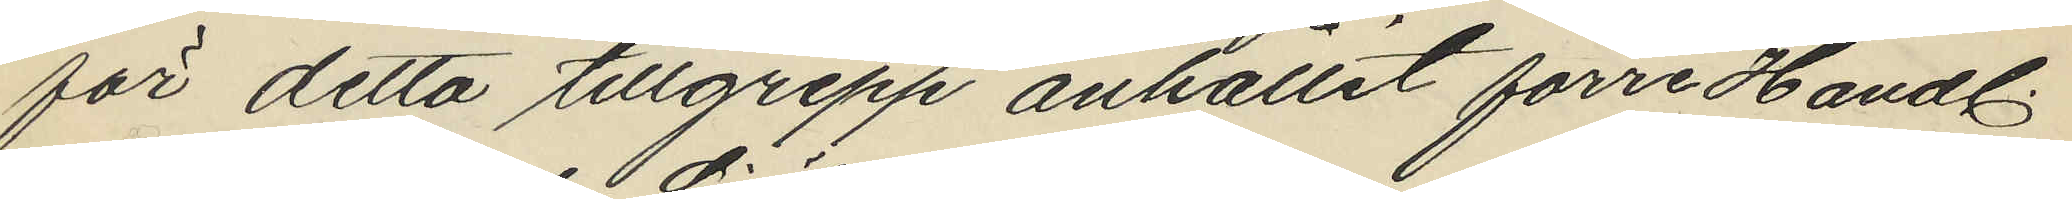för detta tillgrepp anhållit förre Handl.
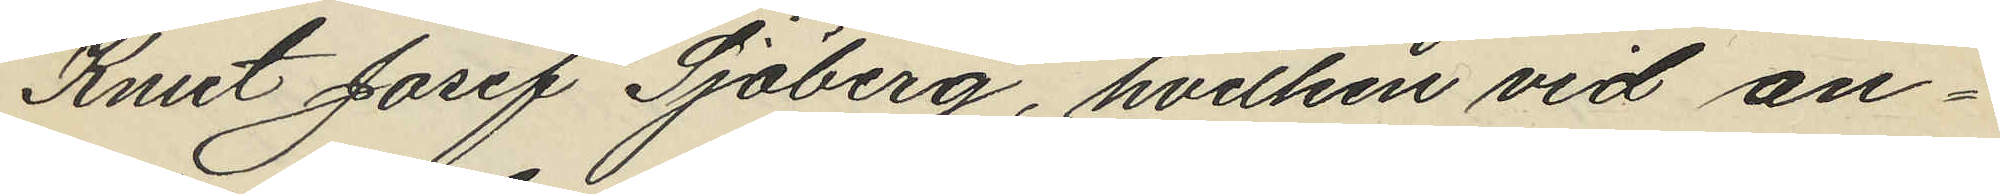Knut Josef Sjöberg, hvilken vid an¬
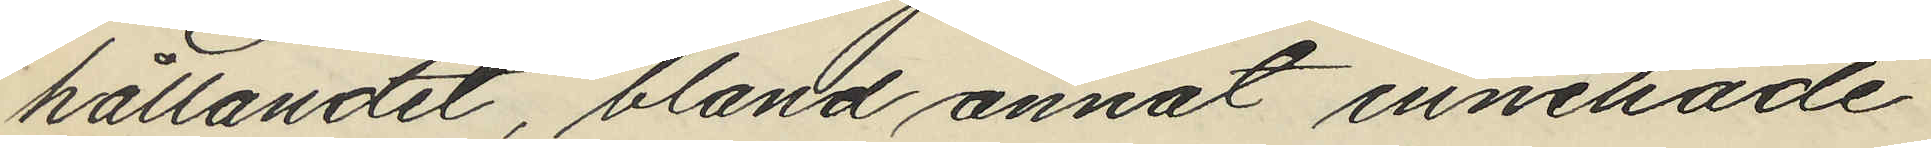hållandet, bland annat innehade
